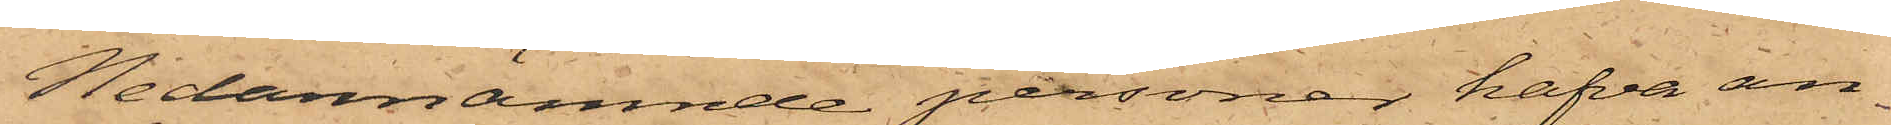Nedannämnde personer hafva an¬
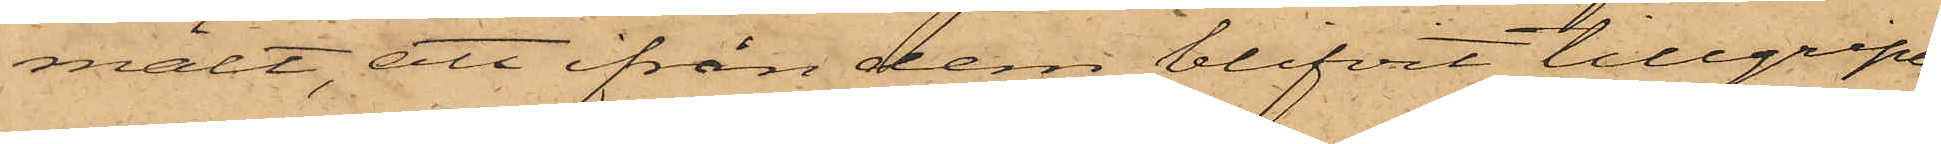mält, att ifrån dem blifvit tillgripet
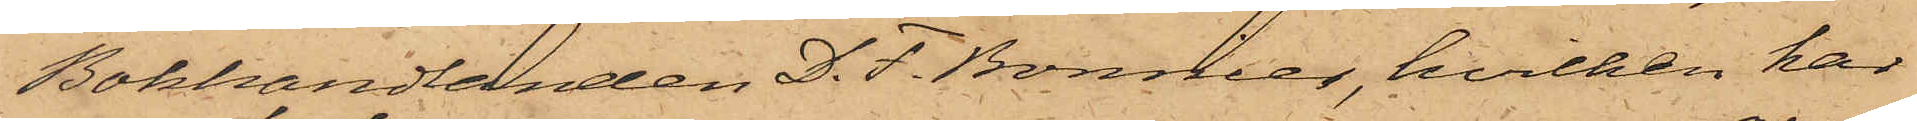Bokhandlanden D. F. Bonnier, hvilken har
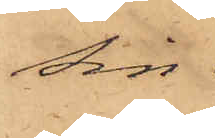sin
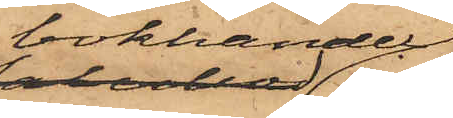bokhandel
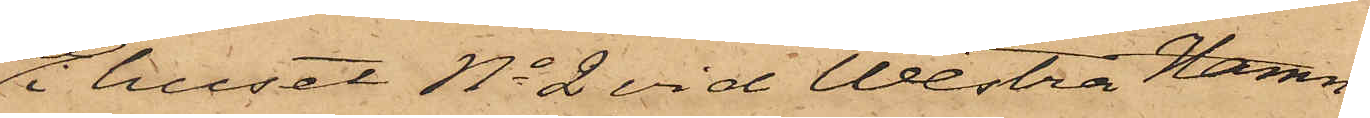i huset No 2 vid Westra Hamn¬
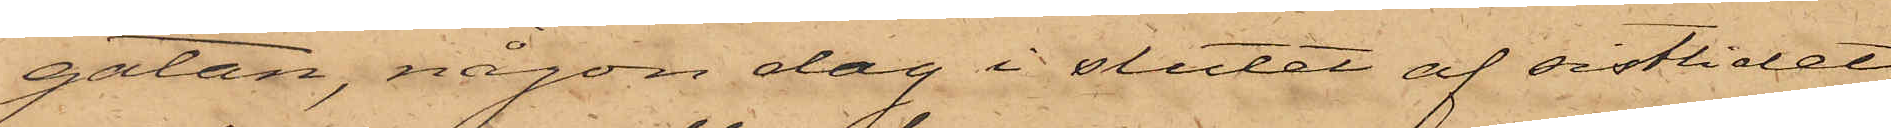gatan, någon dag i slutet af sistlidet
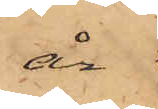år
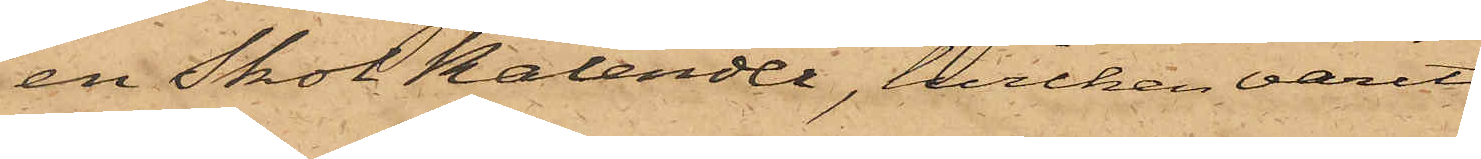en Skolkalender, hvilken varit
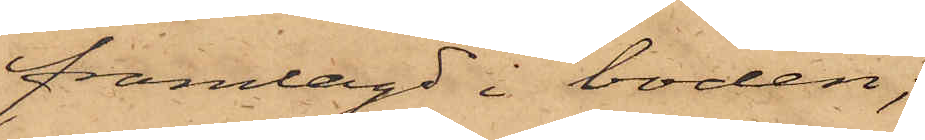framlagd i boden;
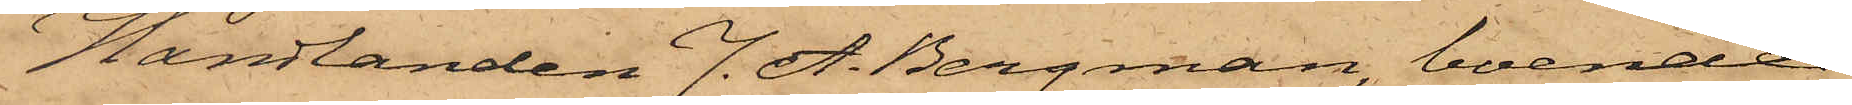Handlanden J. A. Bergman, boende
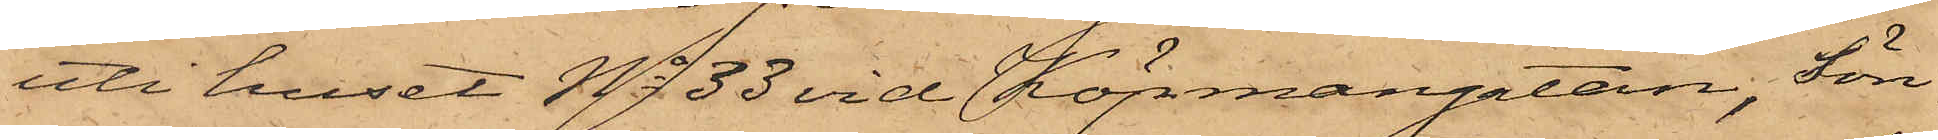uti huset No 33 vid Köpmangatan, Sön¬
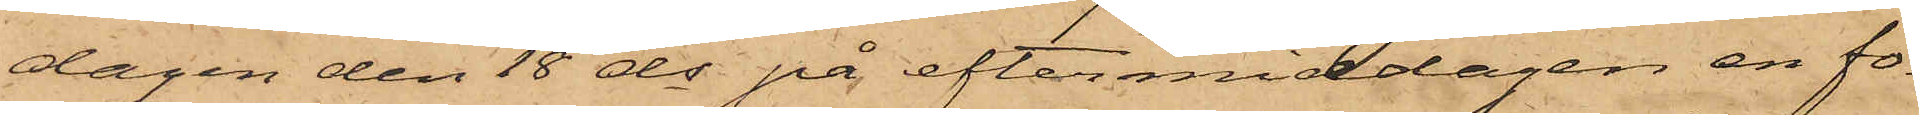dagen den 18 ds på eftermiddagen en fo¬
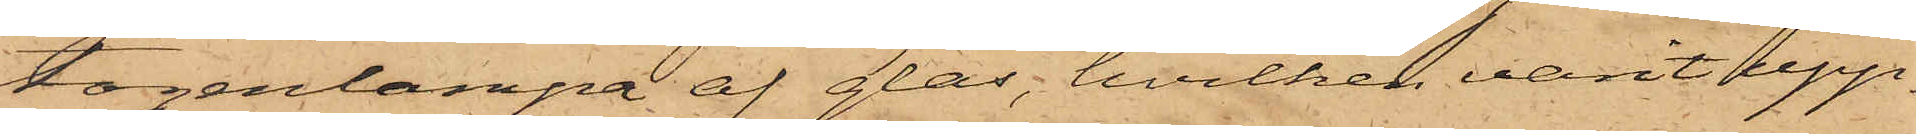togenlampa af glas, hvilken varit upp¬
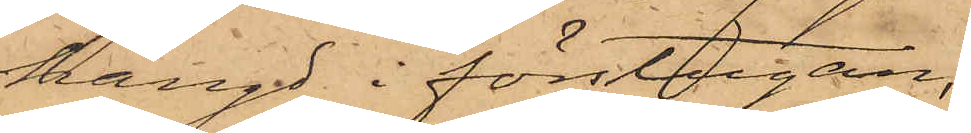hängd i förstugan;
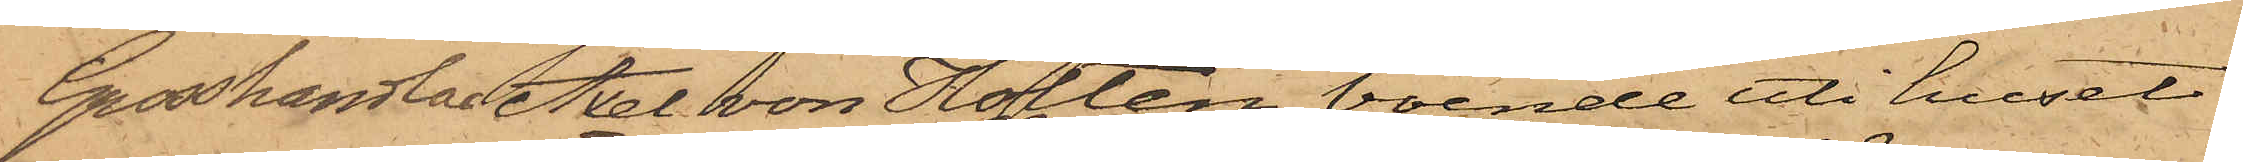Grosshandlar Axel von Holten boende uti huset
